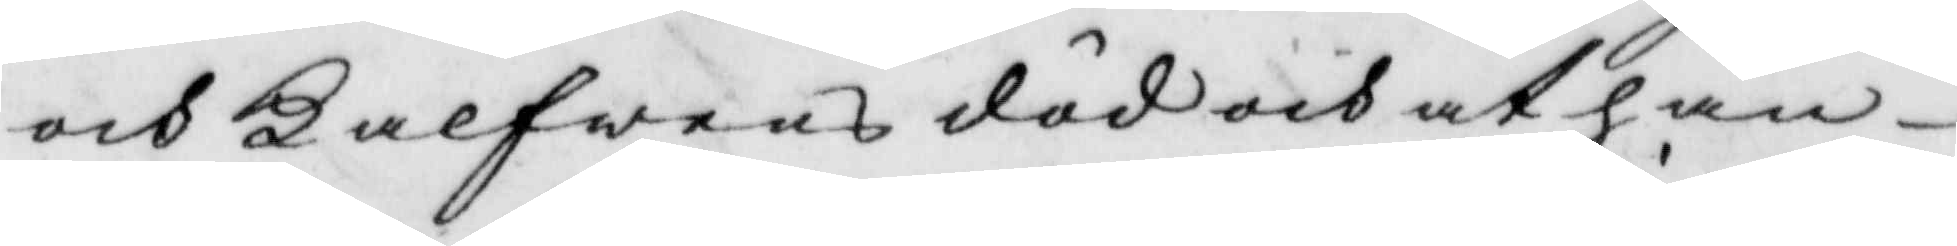och Kalfwens död och at han
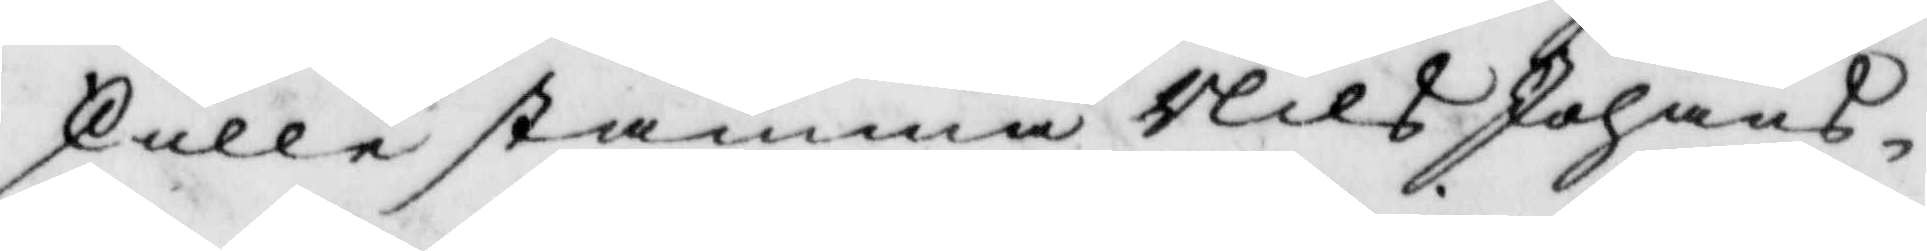skulle stämma Nils Johans¬
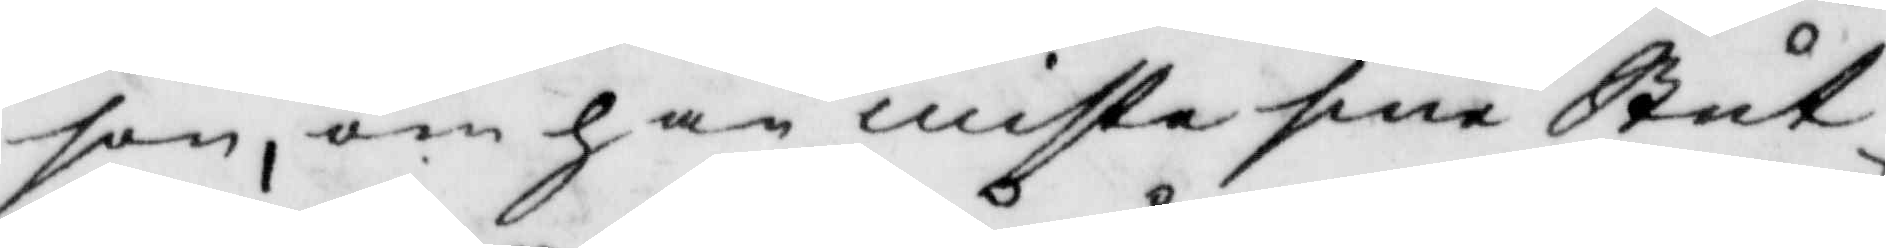son, om han miste sine Stut¬
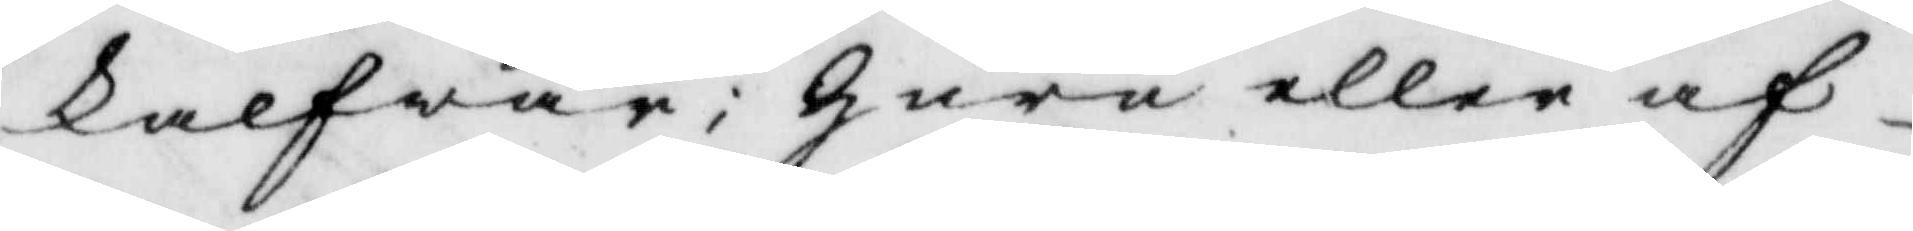kalfwar; huru eller af
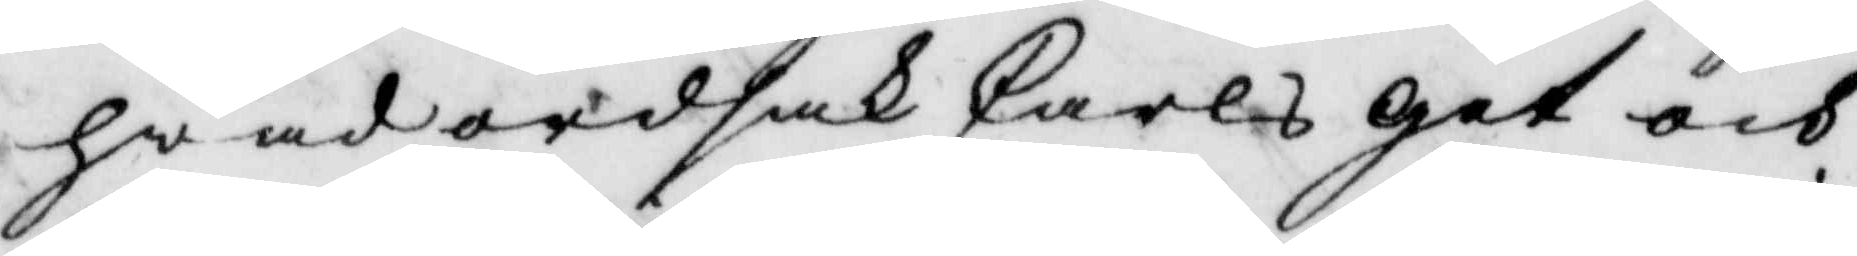hwad ordsak Carls get och
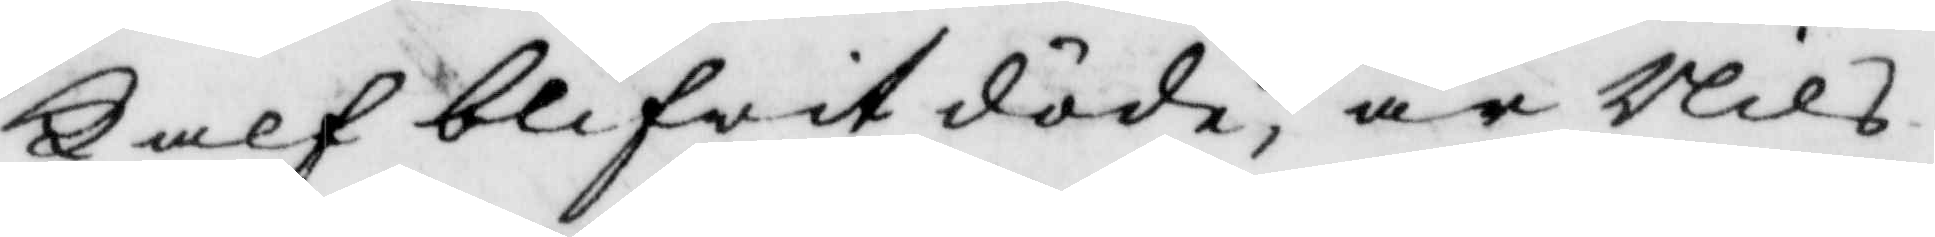Kalf blifwit döde, är Nils
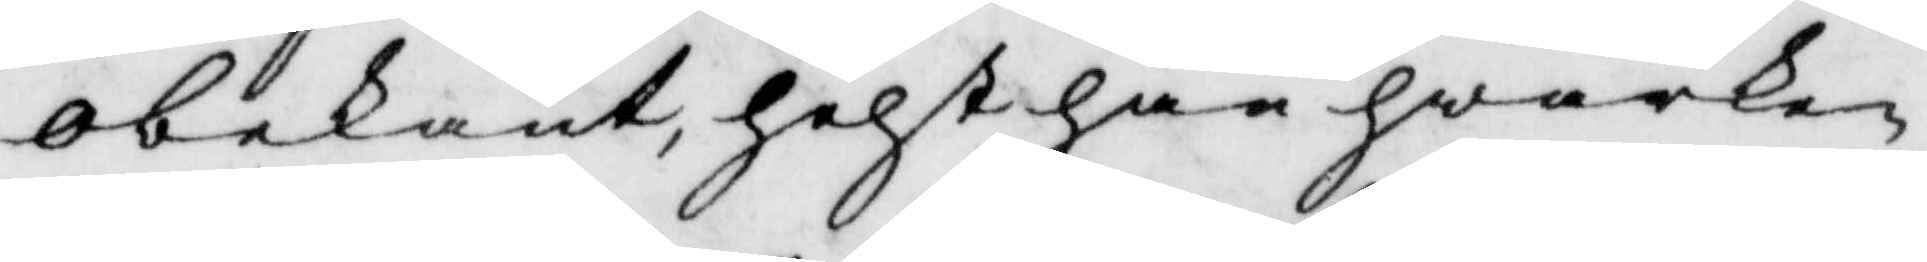obekant, helst han hwarken
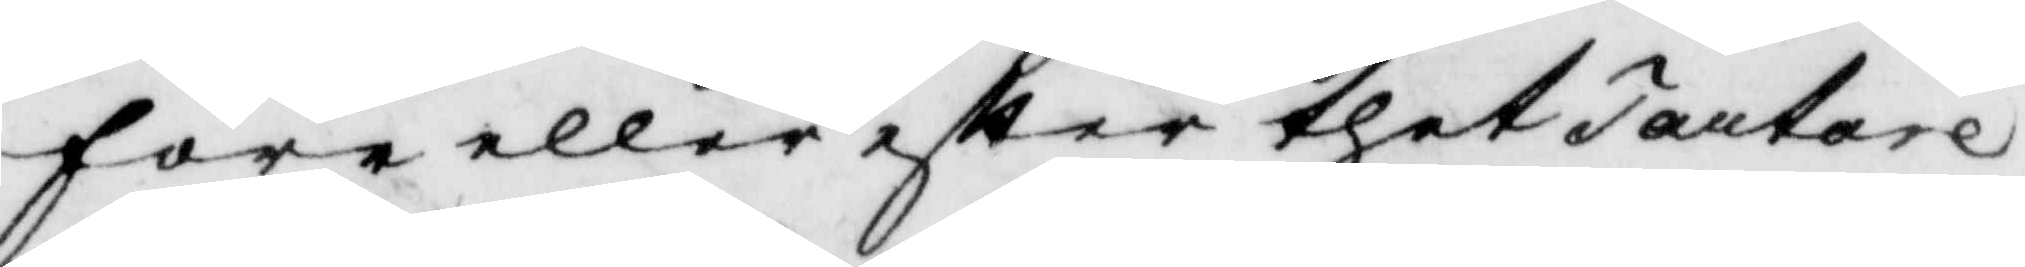före eller efter thet Tartare¬
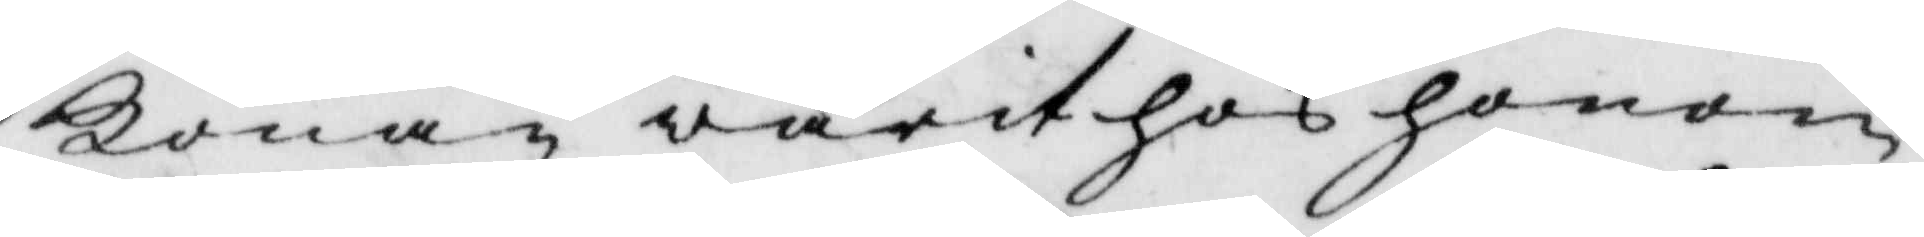Konan warit hos honom
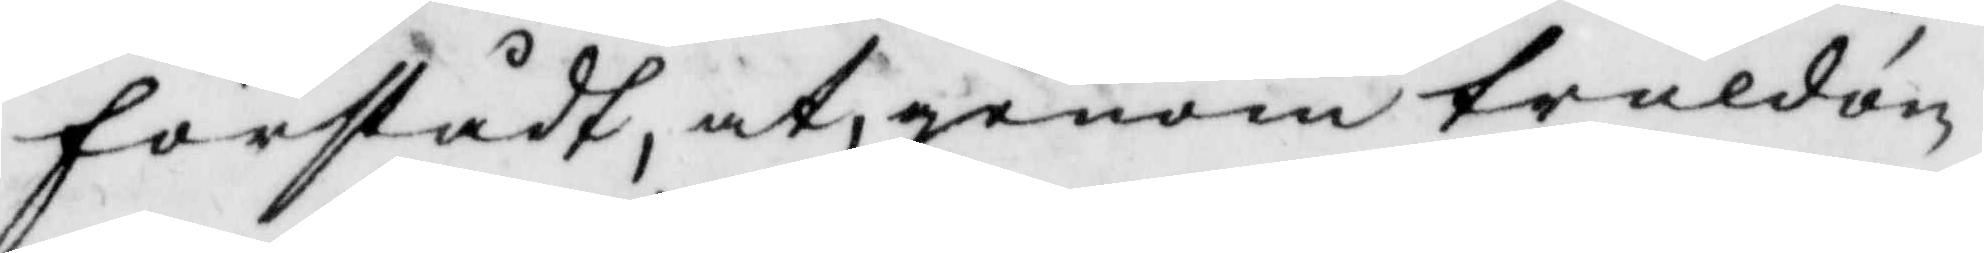förstådt, at, genom truldom
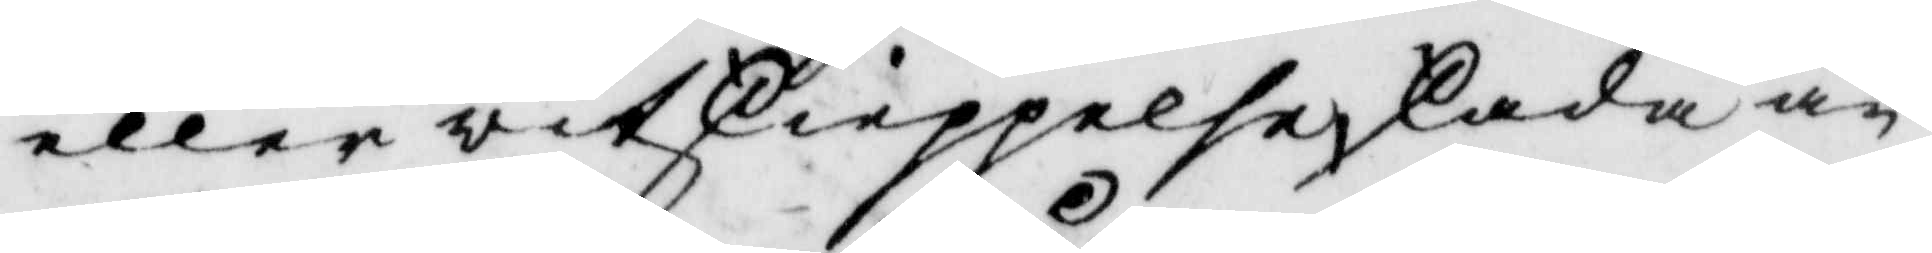eller witskieppelse skada an¬
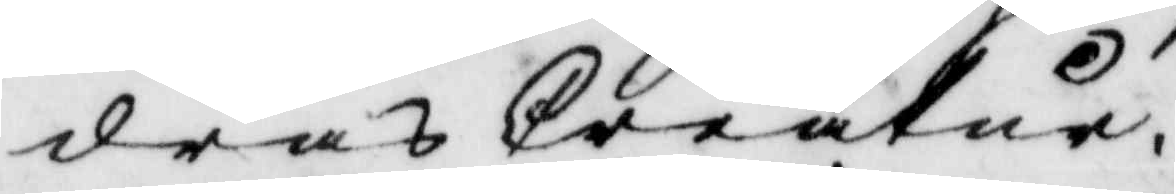dras Creatur.
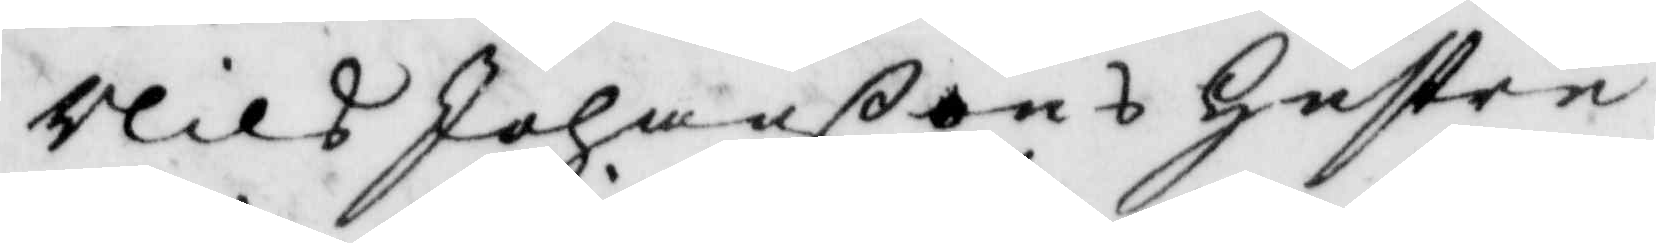Nils Johanßons hustru
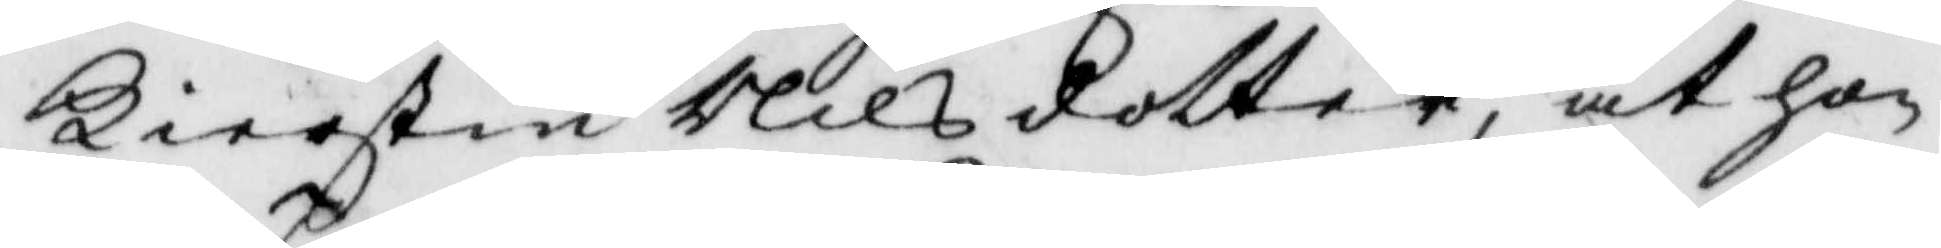Kierstin Nils dotter, at hon
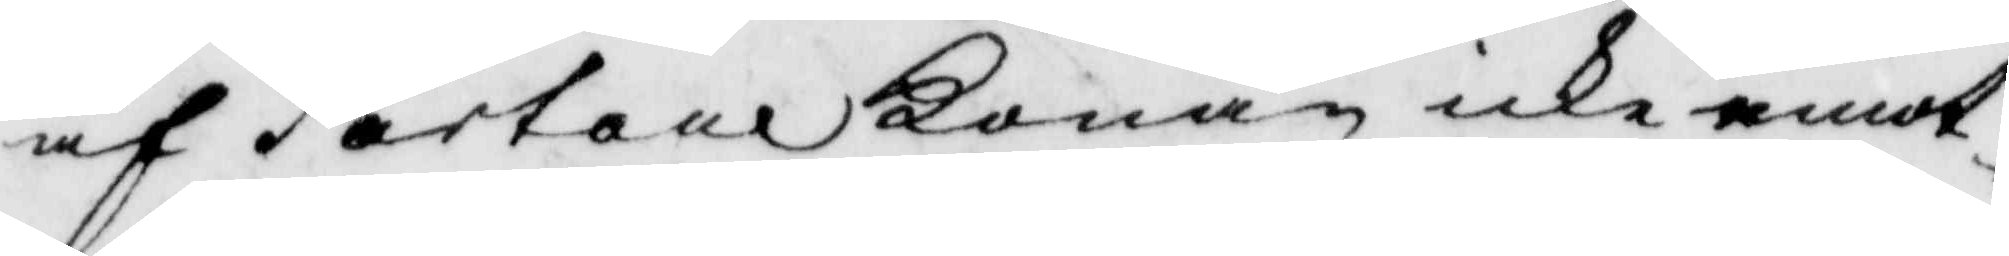af Tortare konan icke emot¬
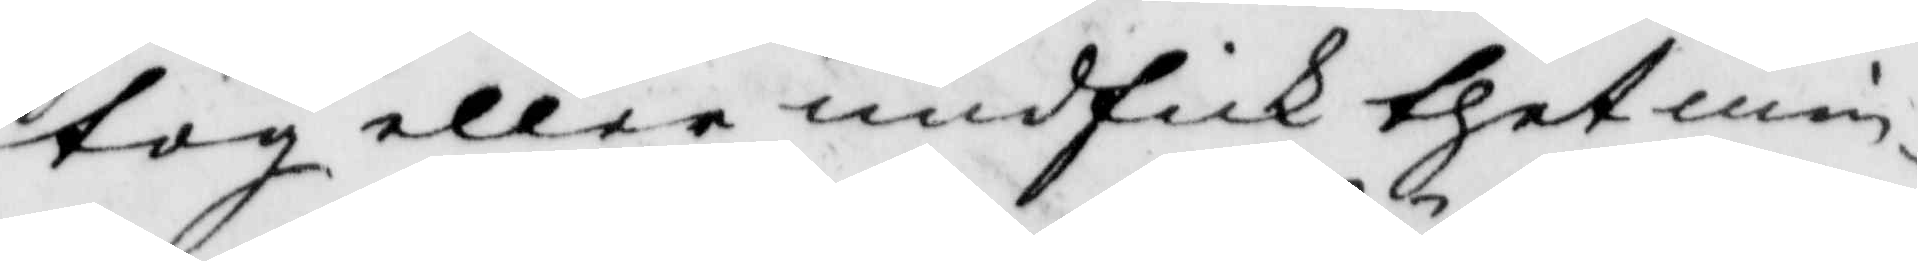tog eller andfick thet min¬
